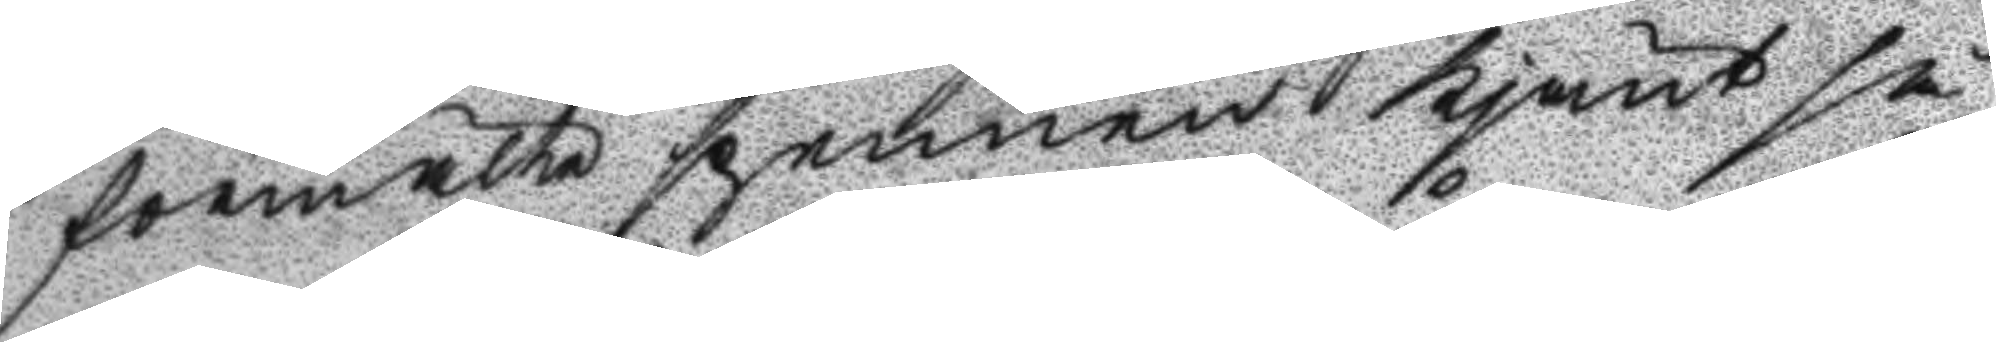förmälte spennen Kjänt så
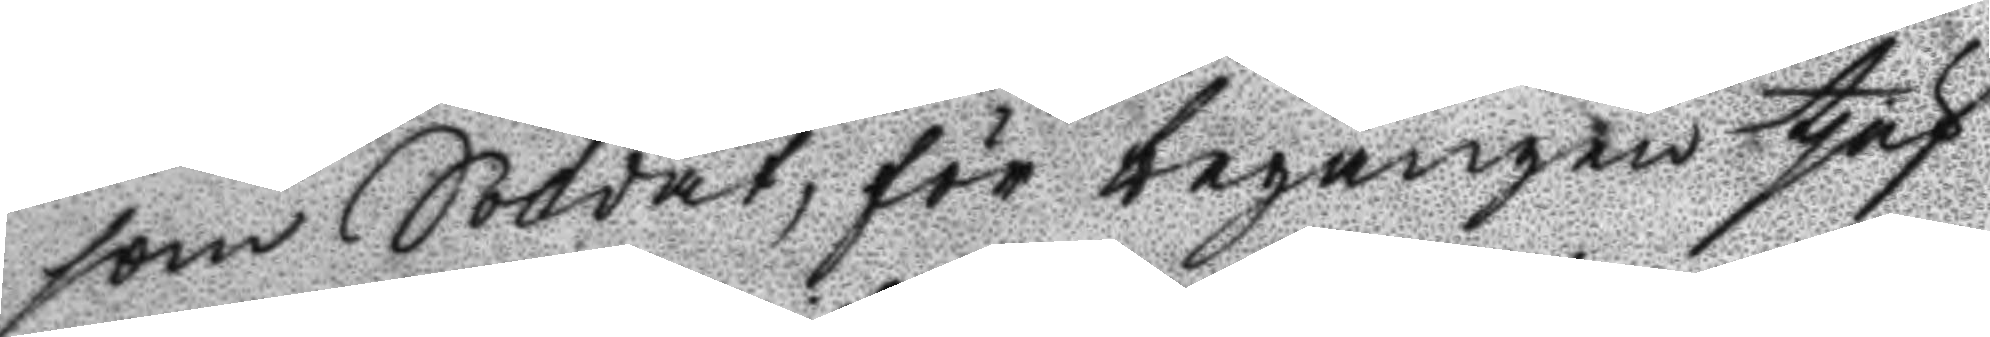som Soldat, för begången tjuf
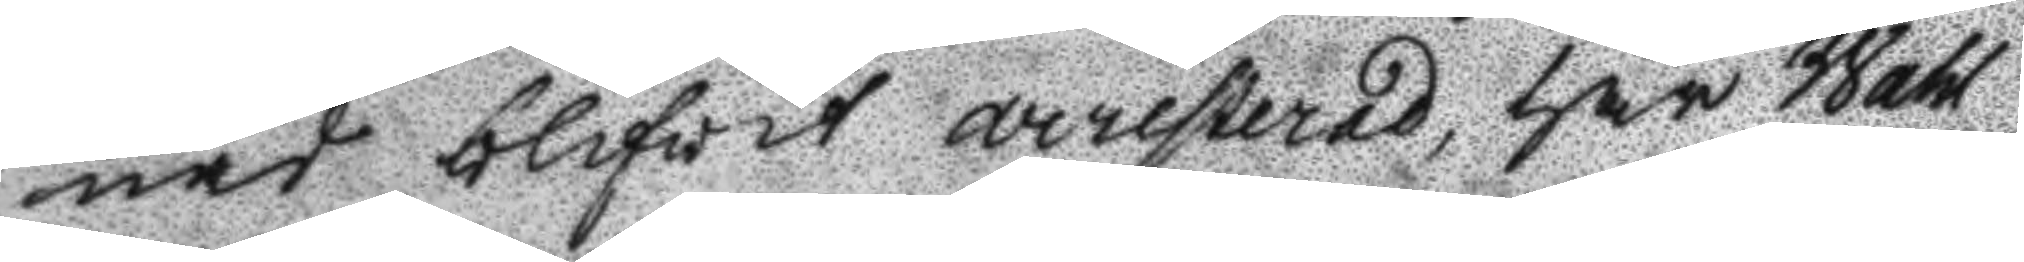nad blifvit arresterad, har Wahl
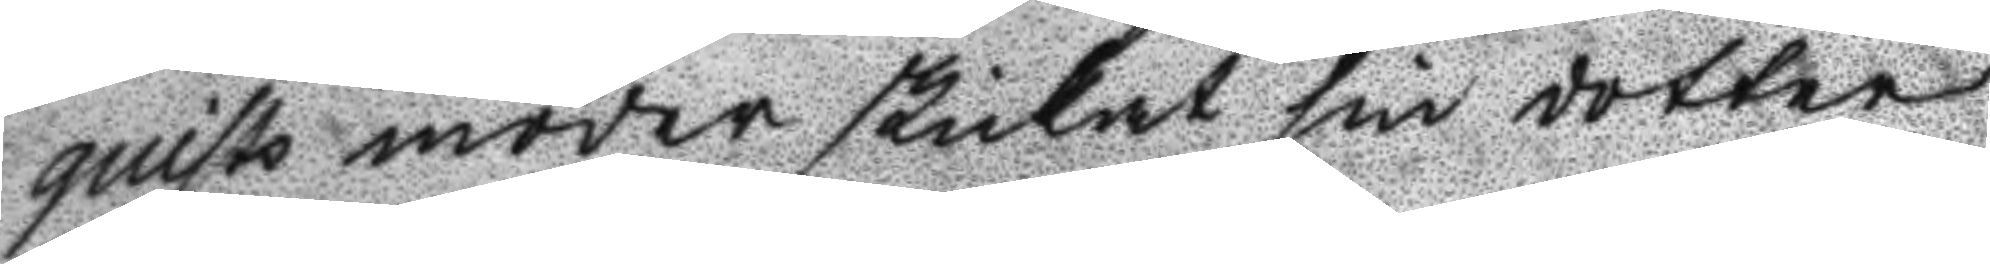quists moder skickat sin dotter
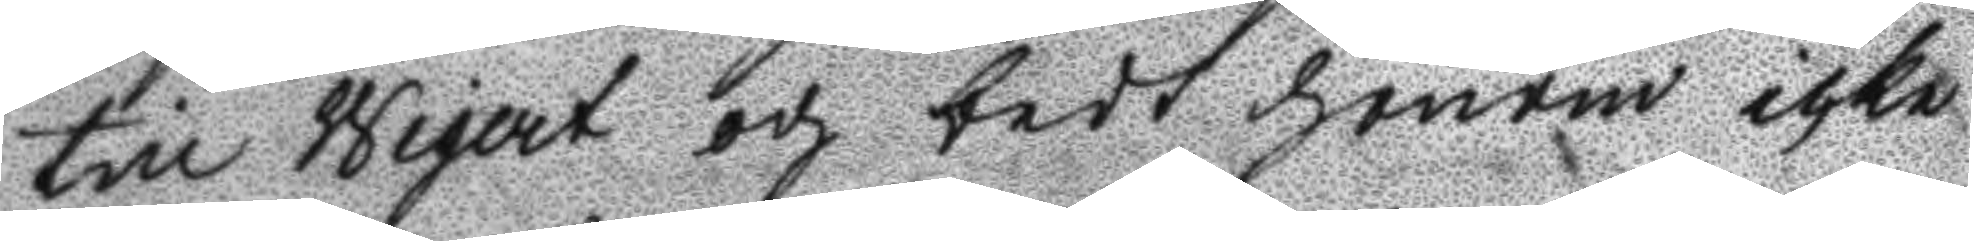till Wigert och bedt honom icke
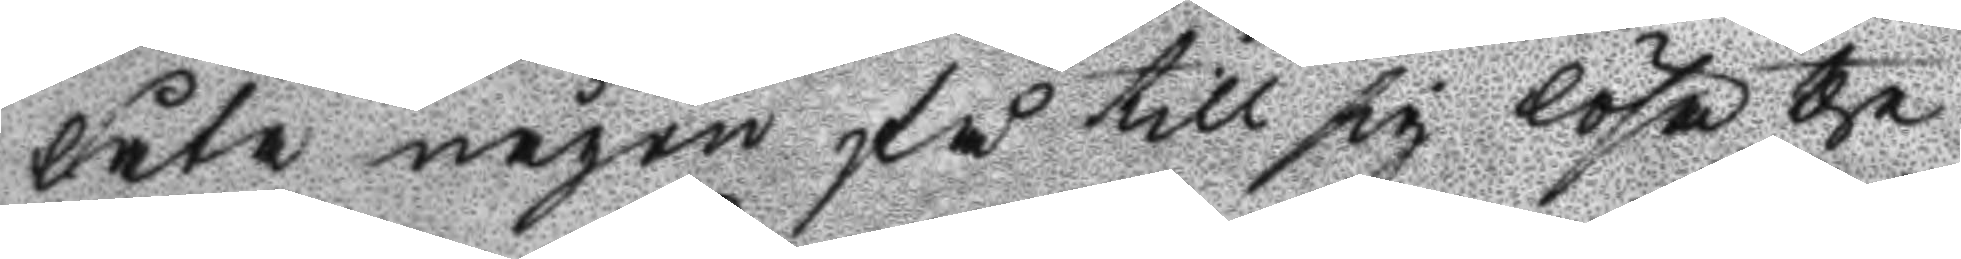låta någon få till sig lösa the
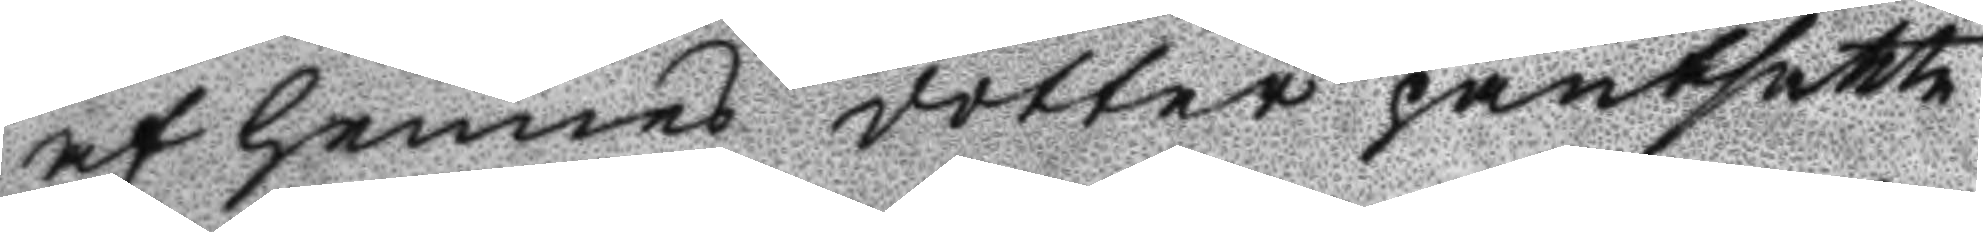af hennes dotter pantsatte
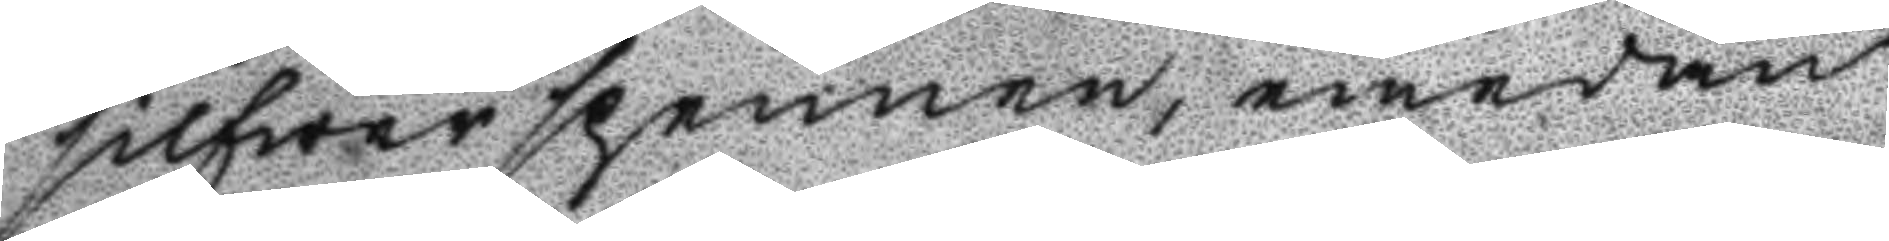silfwerspennen, emedan
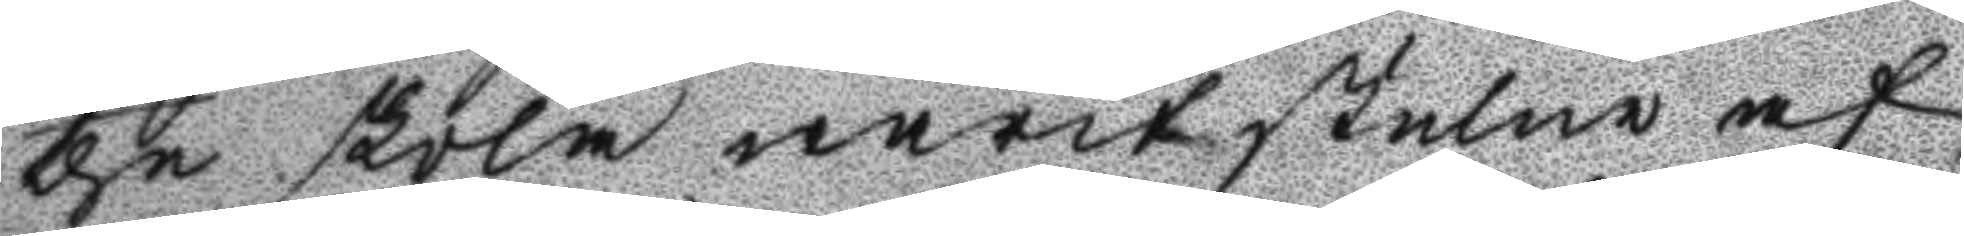the skola warit stulne af
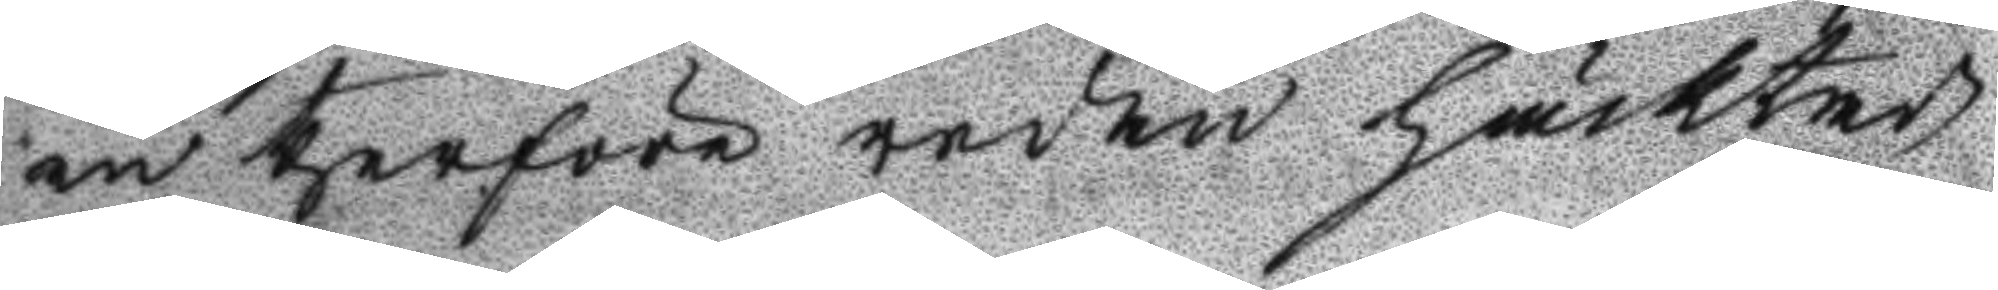en therföre redan häcktad
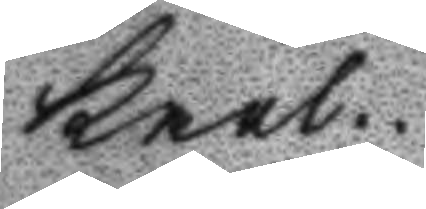karl.
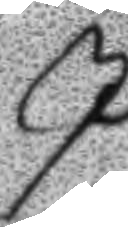I
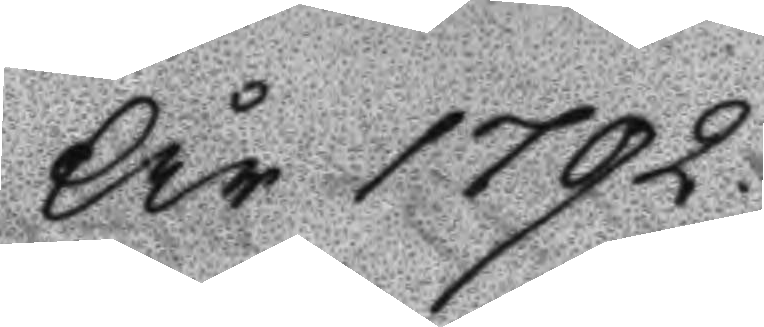År 1792.
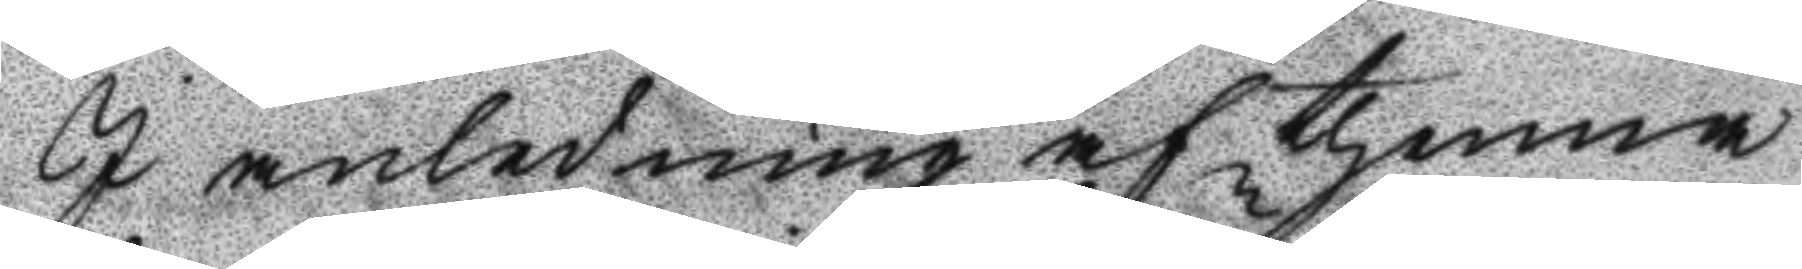I anledning af thenna
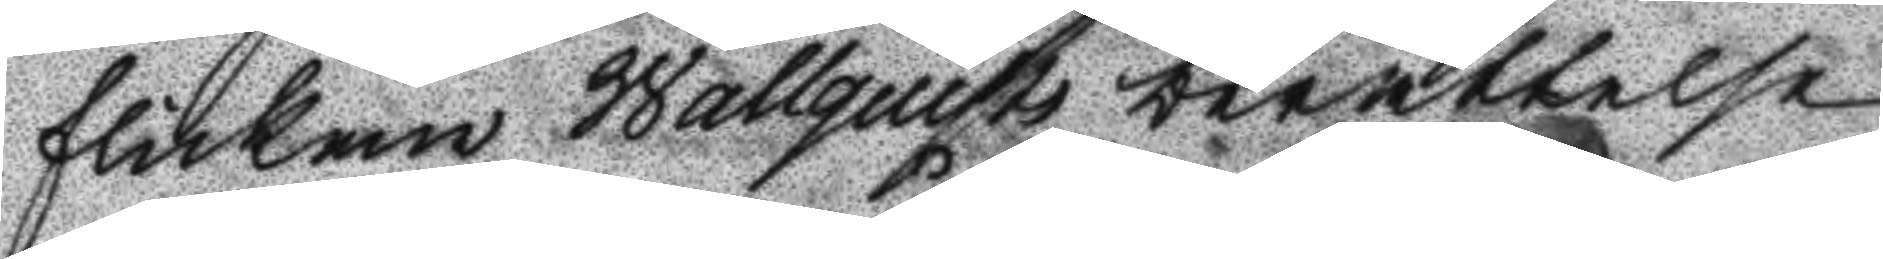flickan Wallquist berättelse
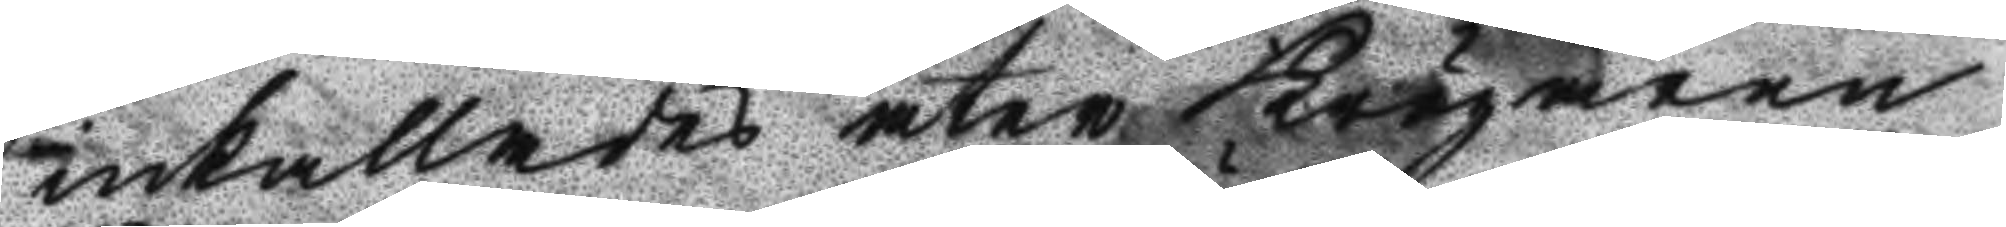inkallades åter Krögaren
